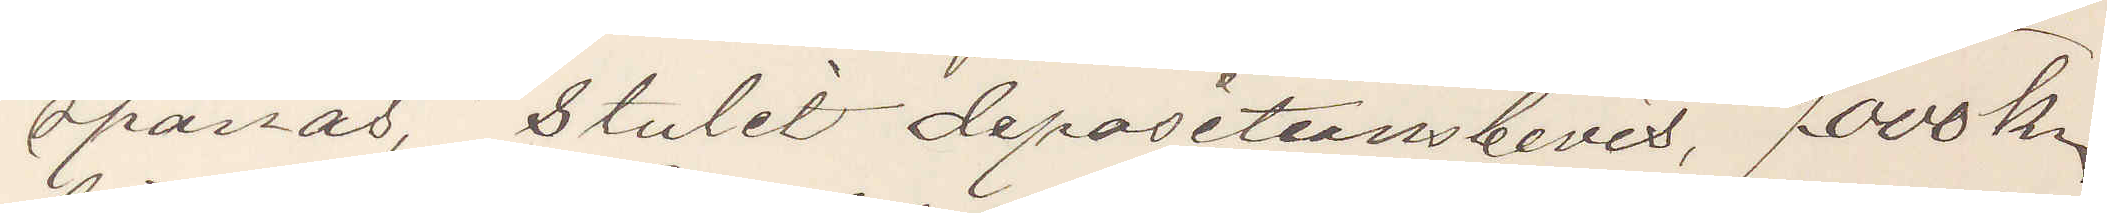spanas, stulit depositionsbevis, 7000 kr
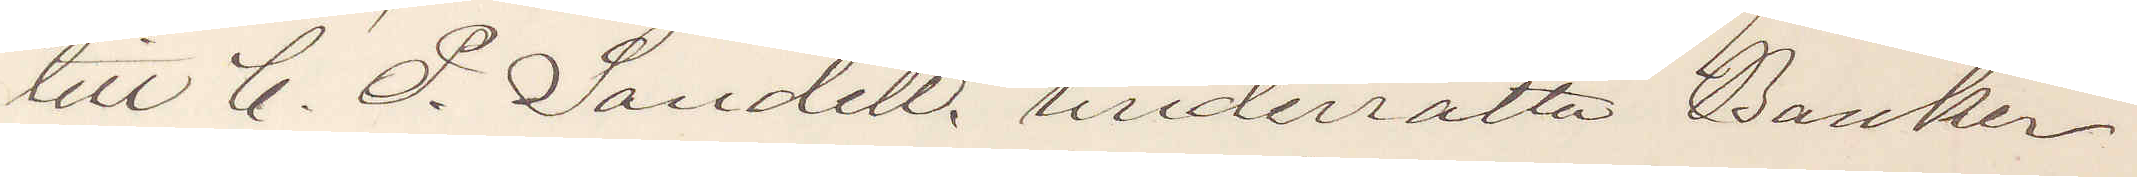till C. P. Sandell, underrätta Banken
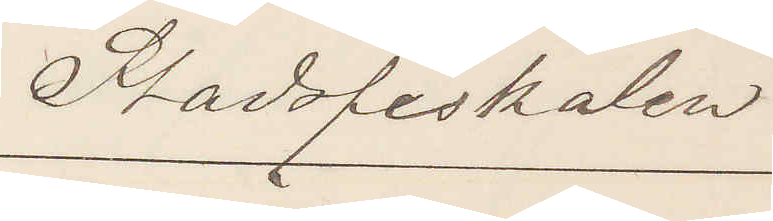Stadsfiskalen
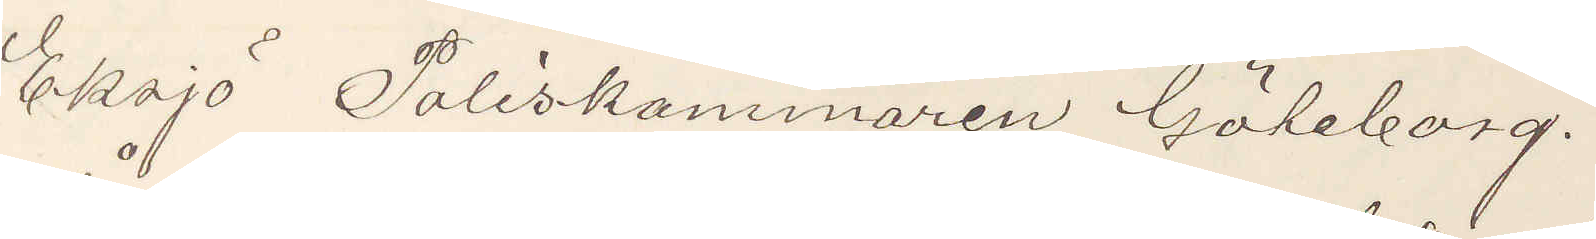Eksjö Poliskammaren Göteborg.
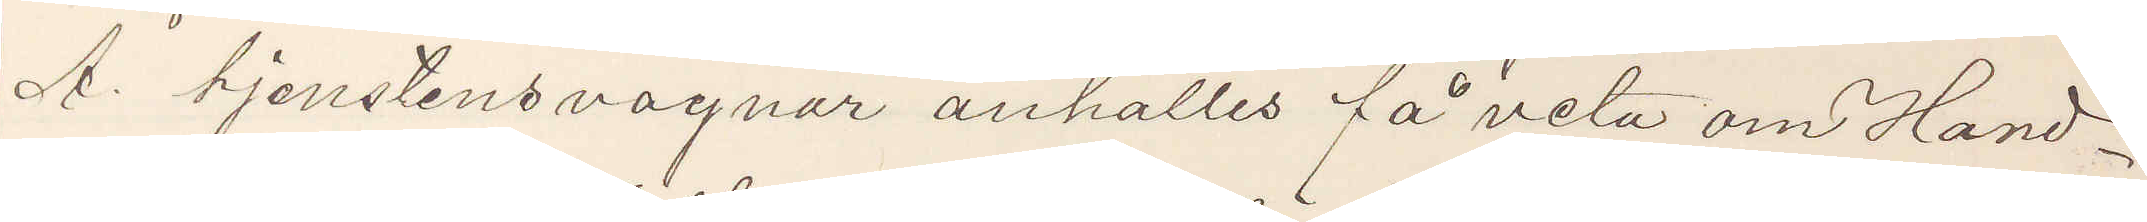Å. tjenstens vägnar anhälles få veta om Hand¬
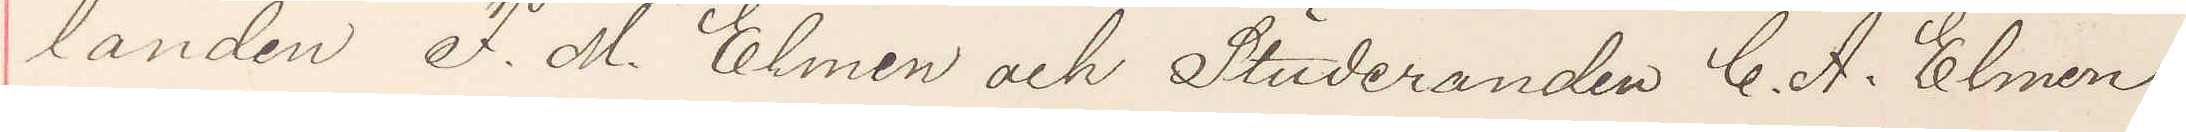landen F. M. Elmen och Studeranden C. A. Elmen
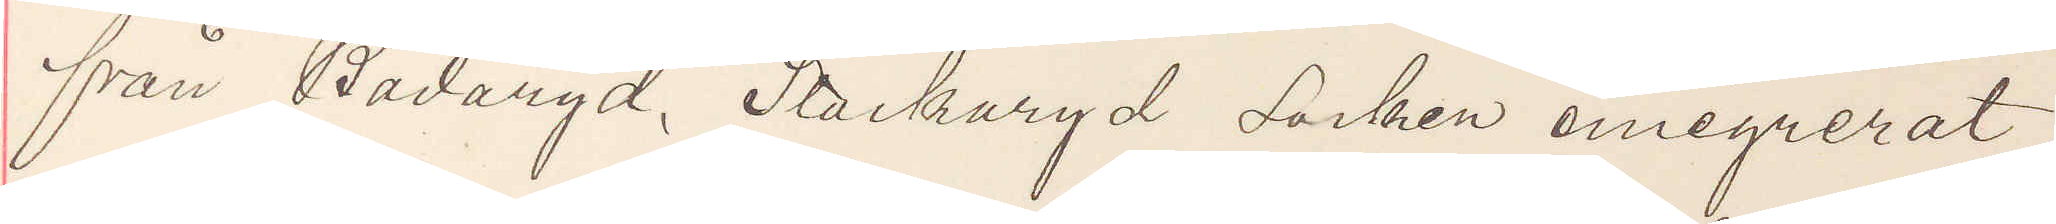från Badaryd, Stockaryd Socken emigrerat
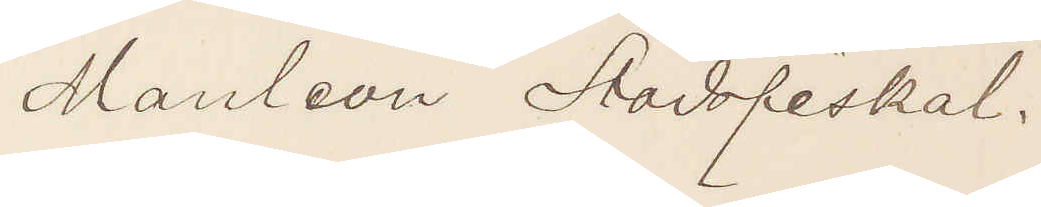Manleon Stadsfiskal.
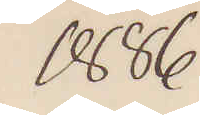1886
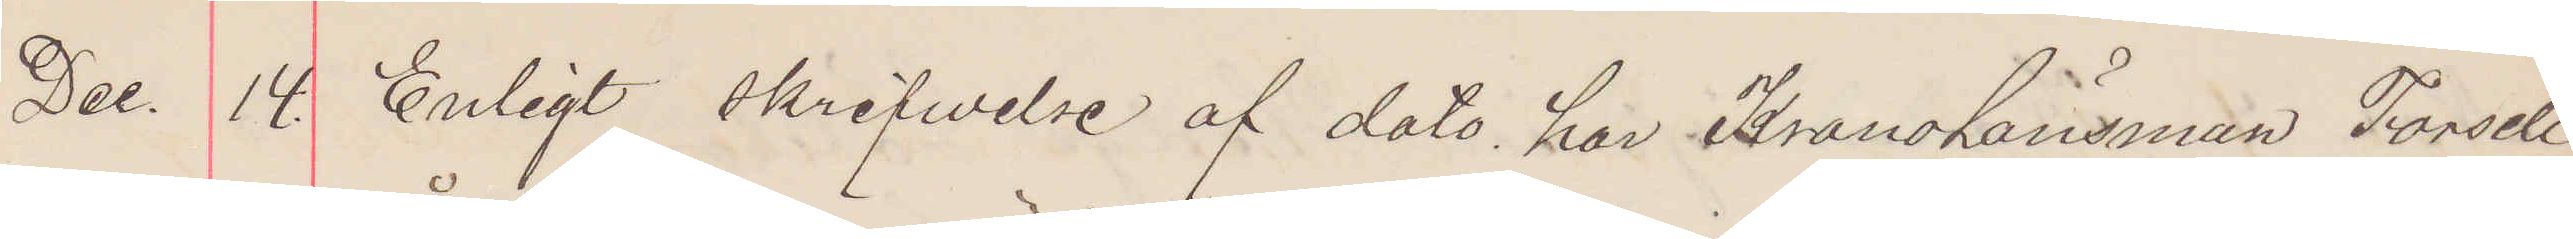Dec. 14. Enligt skrifwelse af dato har Kronolänsman Forsell
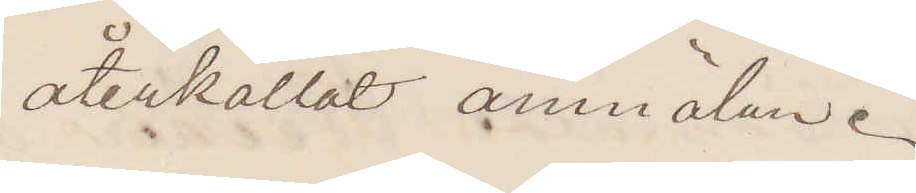återkallat anmälan.
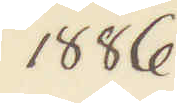1886
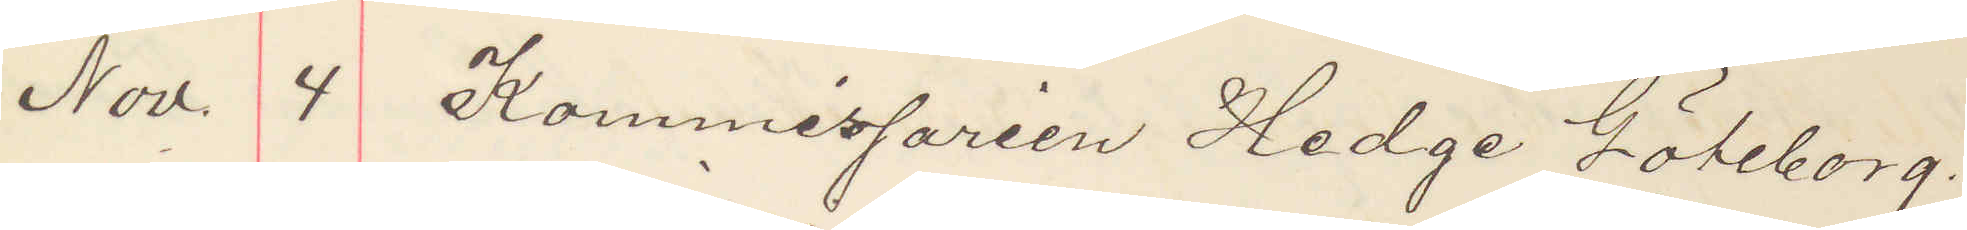Nov. 4 Kommissarien Hedge Göteborg.
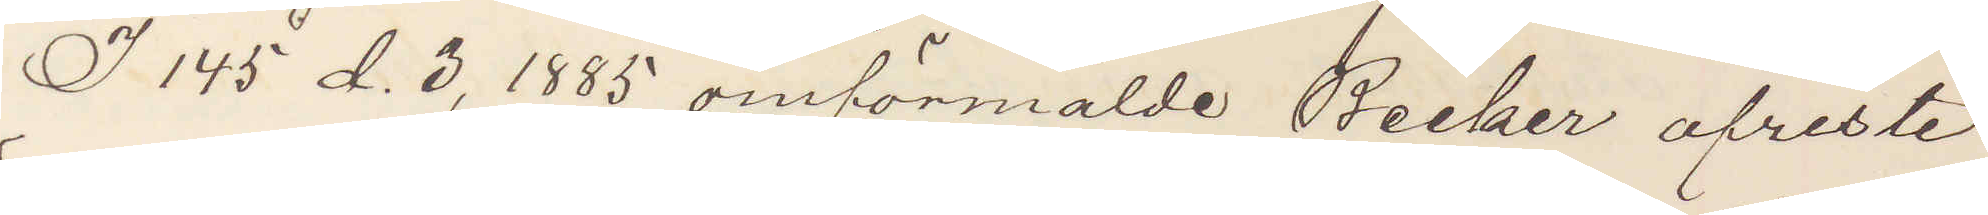I 145 d. 3, 1885 omförmälde Becker afreste
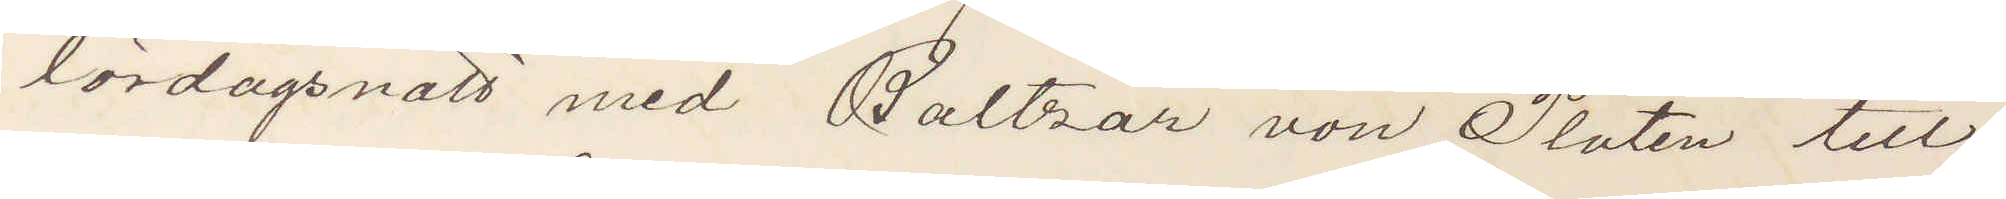lördagsnatt med Baltzar von Platen till
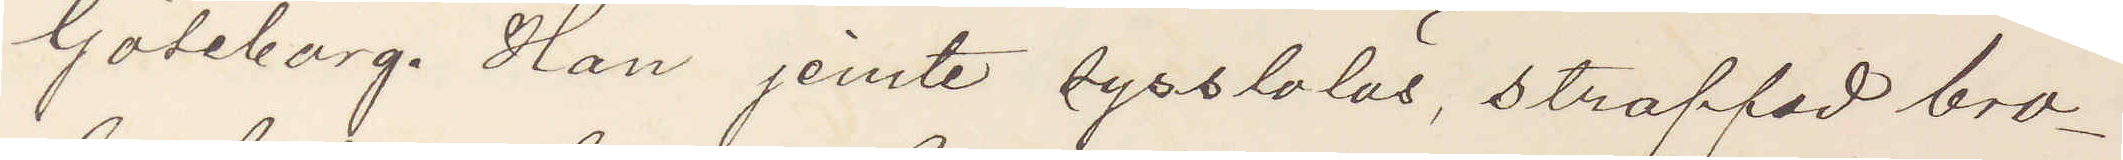Göteborg. Han jemte sysslolös, straffad bro¬
